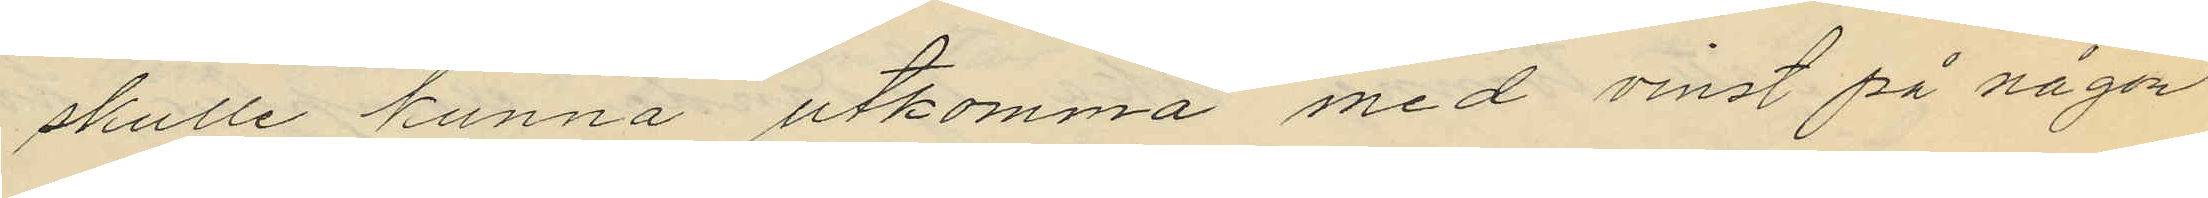skulle kunna utkomma med vinst på någon
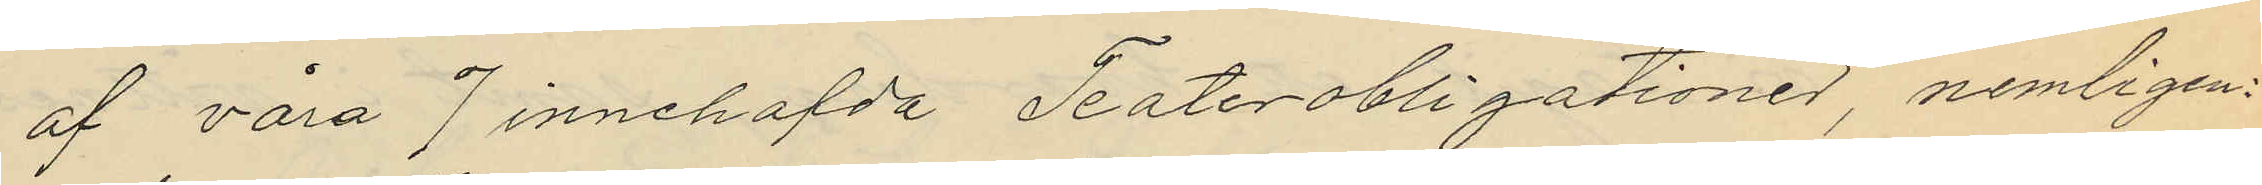af våra 7 innehafda Teaterobligationer, nemligen:
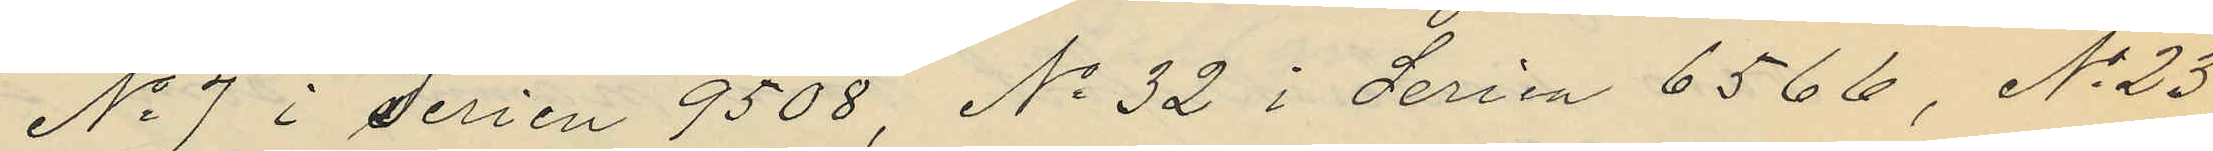No 7 i Serien 9508, No 32 i Serien 6566, No 23
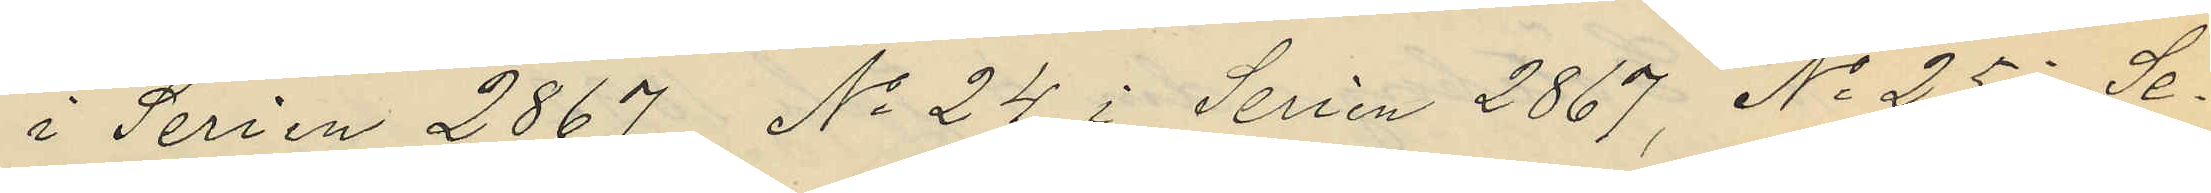i Serien 2867, No 24 i Serien 2867, No 25 Se¬
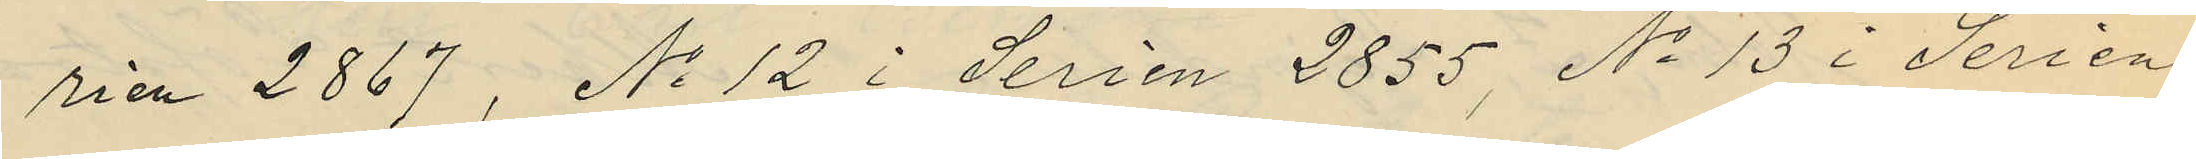rien 2867, No 12 i Serien 2855, No 13 i Serien
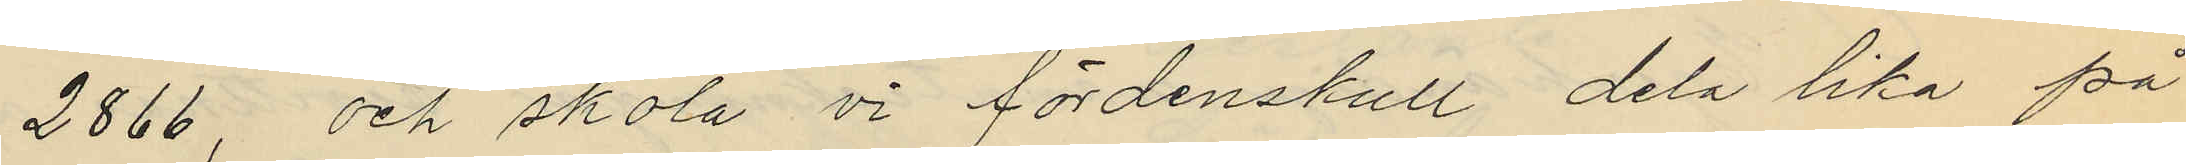2866, och skola vi fördenskull dela lika på
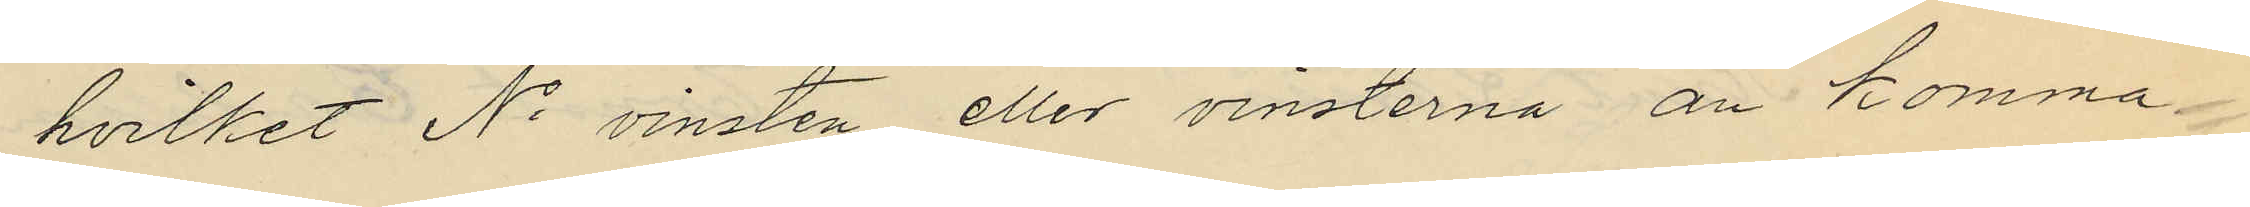hvilket No vinsten eller vinsterna än komma
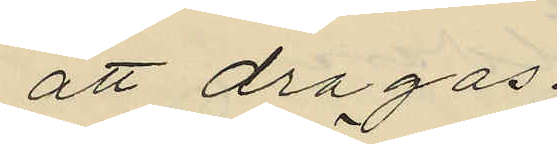att dragas.
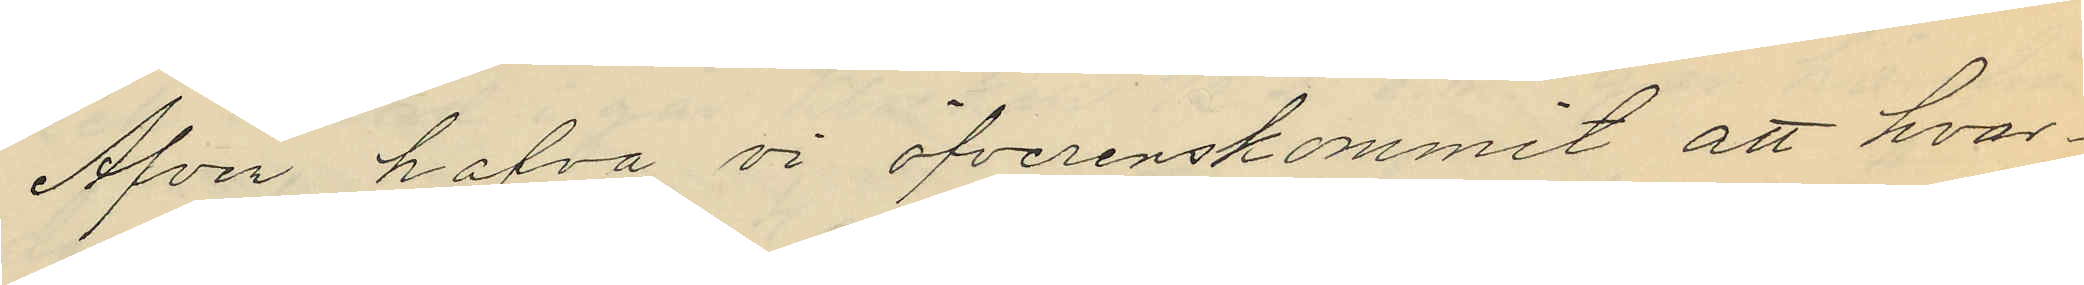Äfven hafva vi öfverenskommit att hvar¬
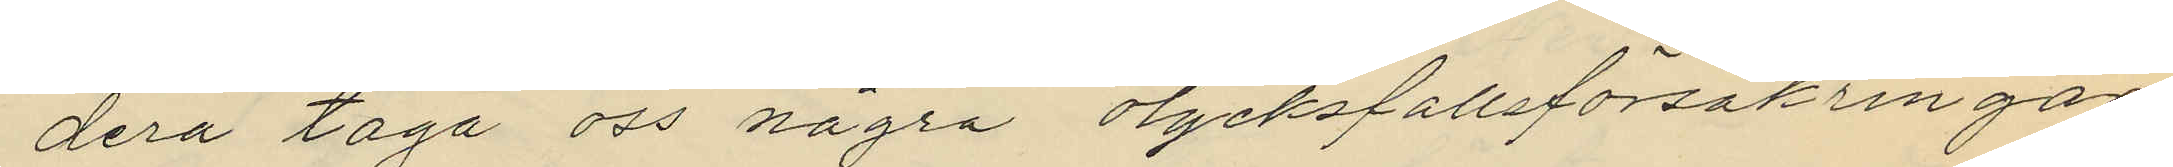dera taga oss några olycksfallsförsäkringar
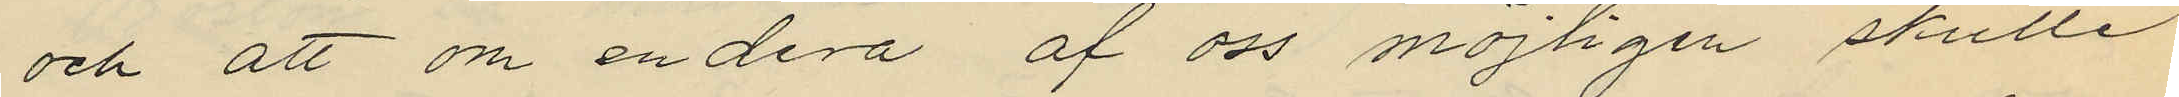och att om en dera af oss möjligen skulle
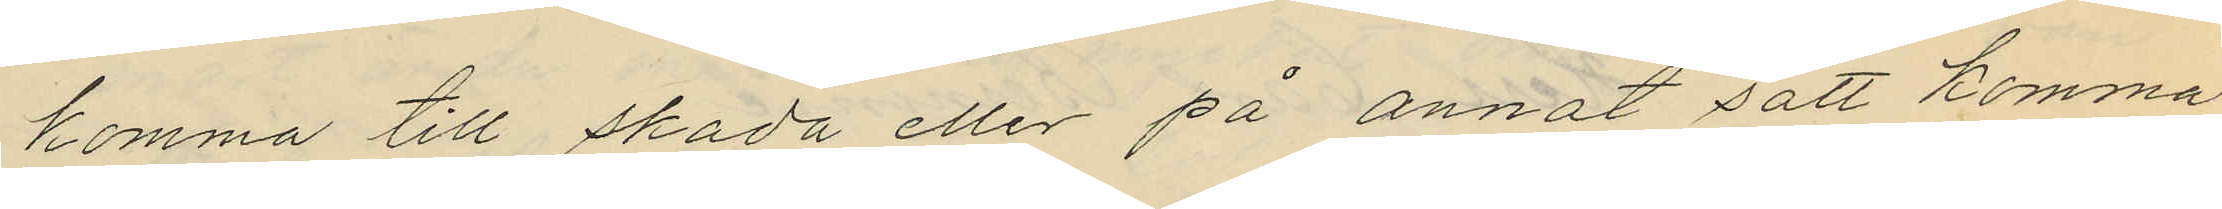komma till skada eller på annat sätt komma
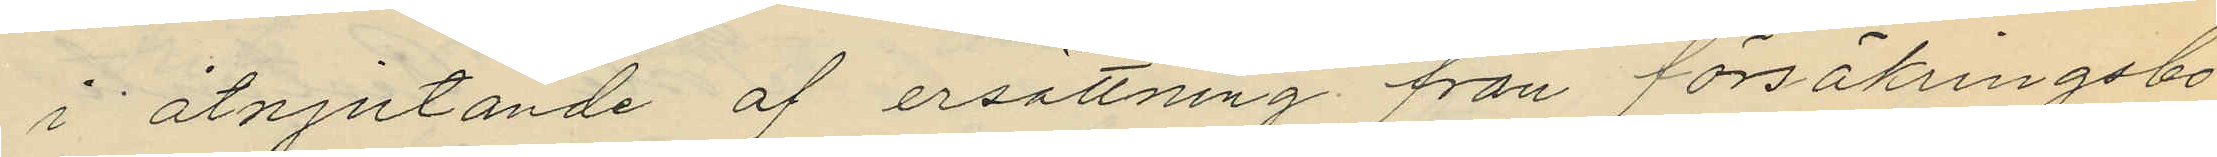i åtnjutande af ersättning från försäkringsbo¬
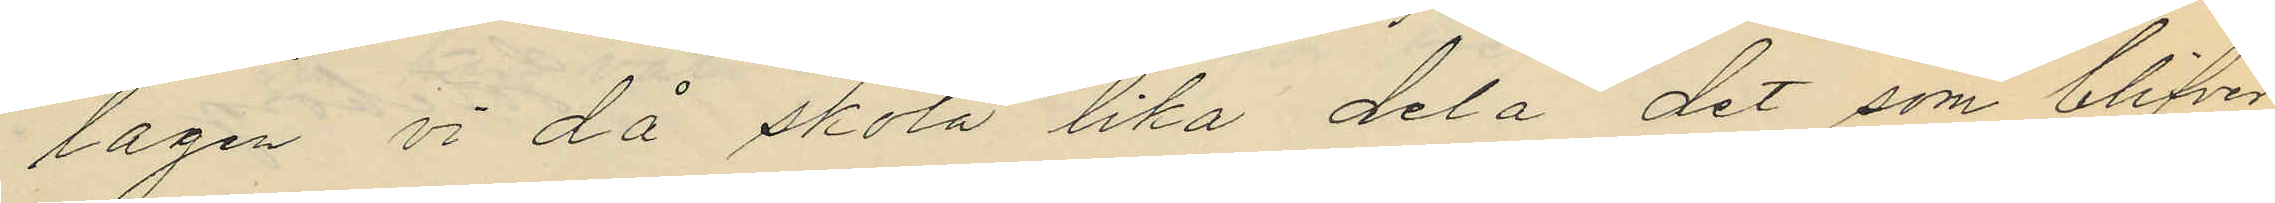lagen vi då skola lika dela det som blifver
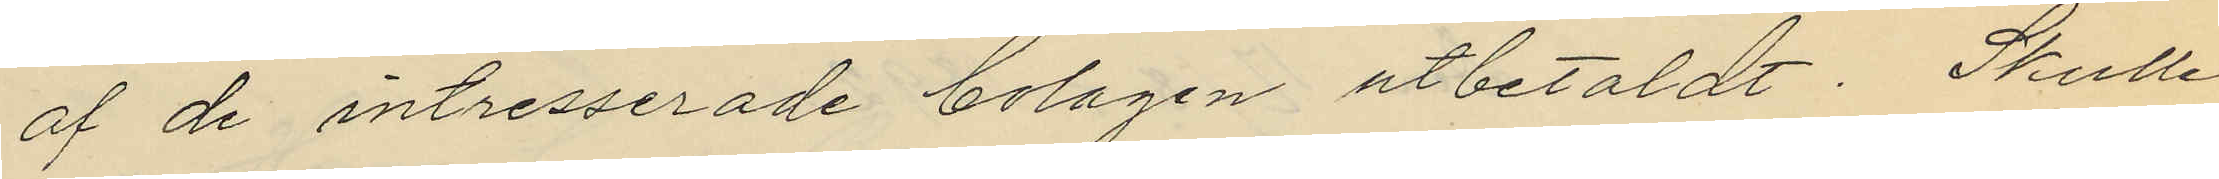af de intresserade bolagen utbetaldt. Skulle
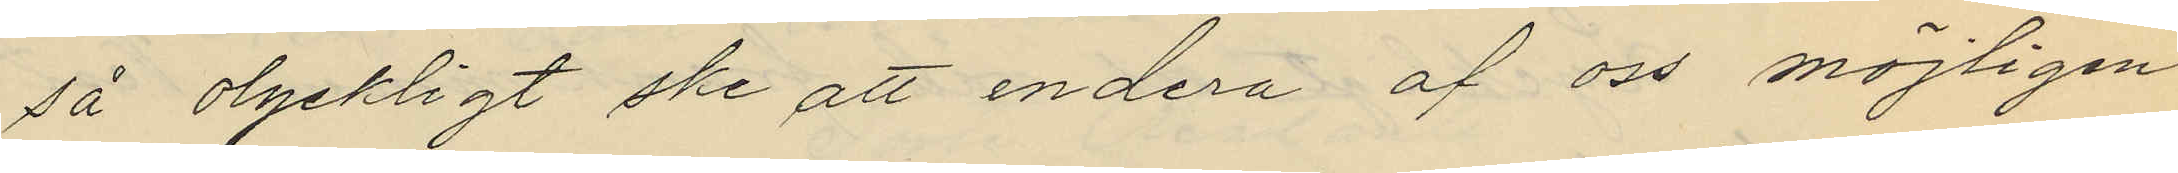så olyckligt ske att endera af oss möjligen
